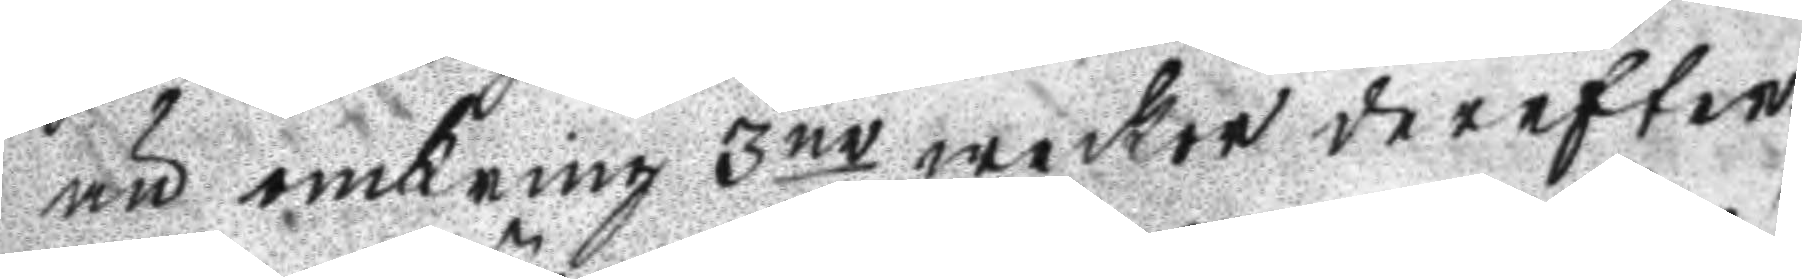än omkring 3ne weckor derefter.
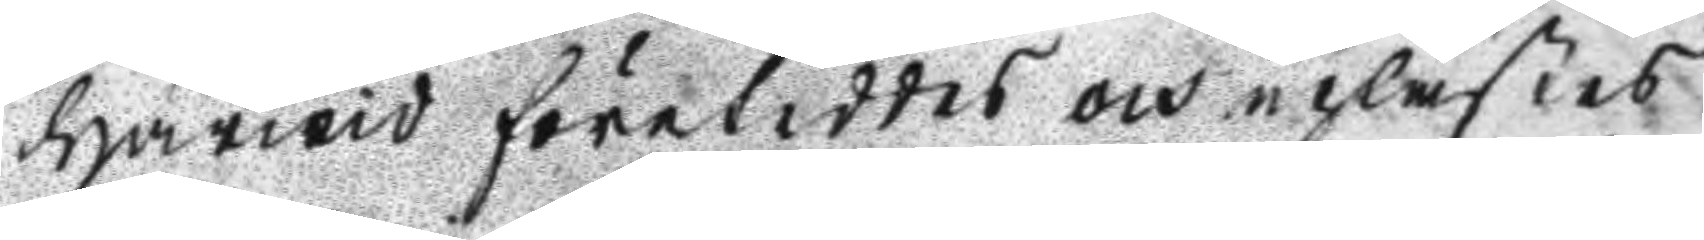Härwid företeddes och uplästes
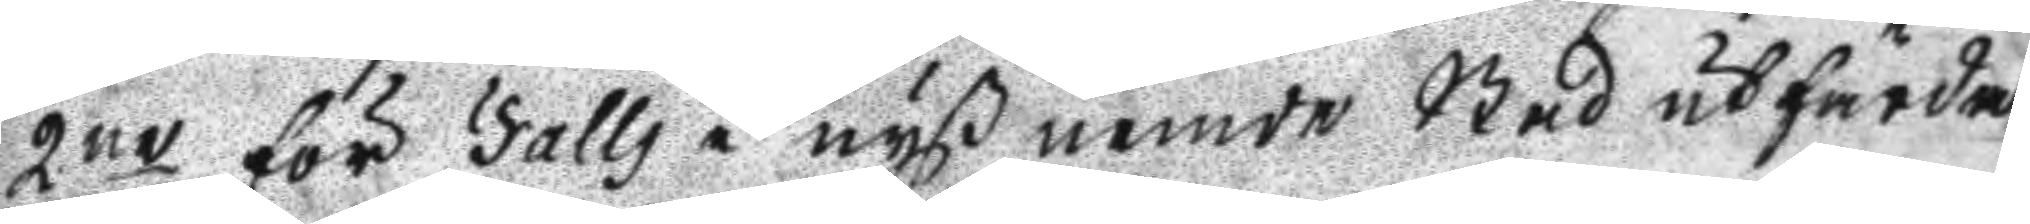2ne för Falls i nyßnemde Stad utfärda
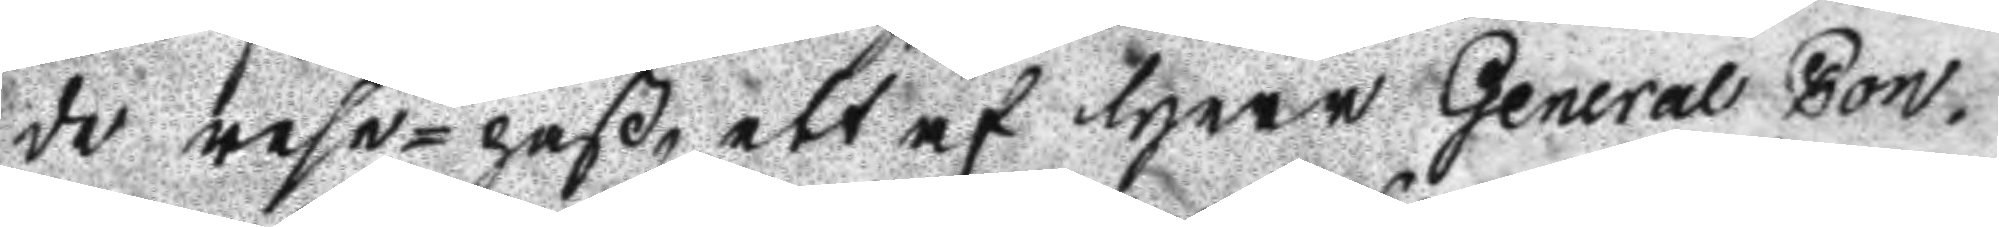de rese-paß, ett af Herr General Con¬
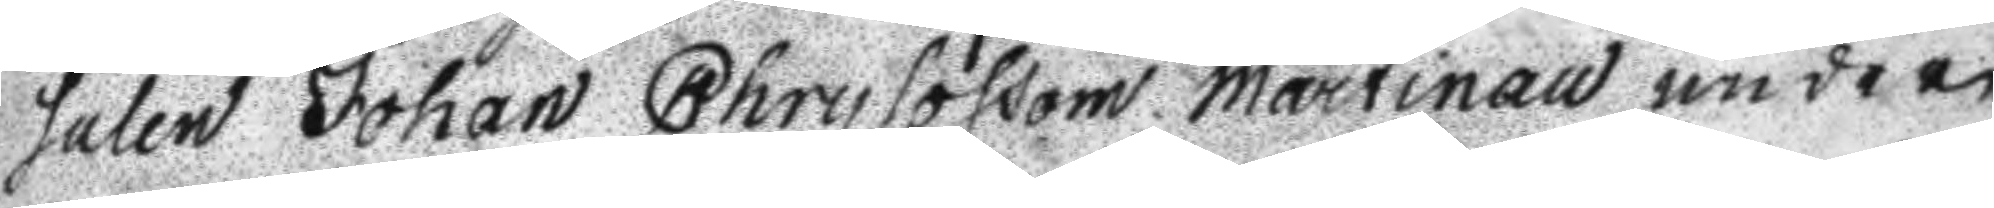sulen Johan Chrysossom Martinau under
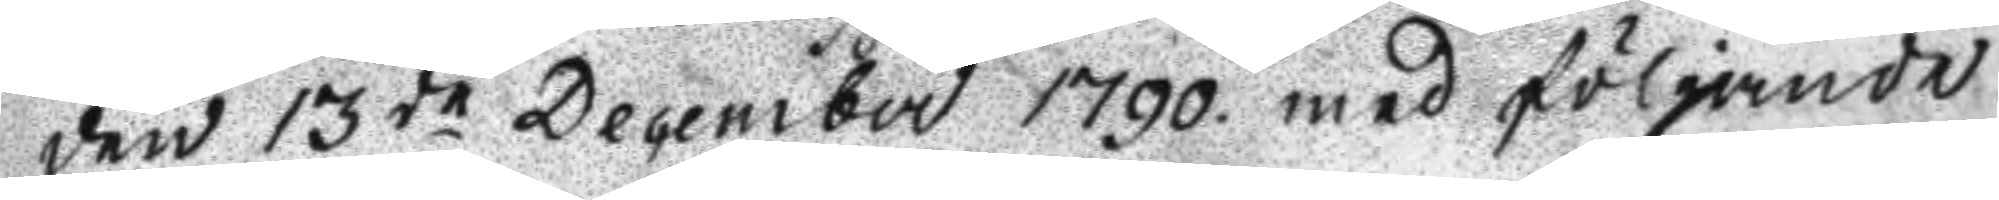den 13de December 1790 med följande
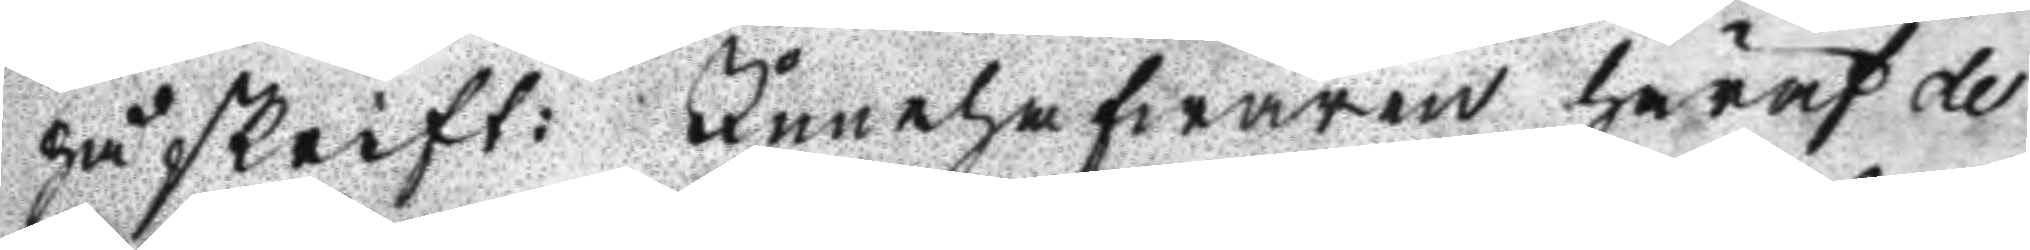påskrift: Innehafwaren häraf de
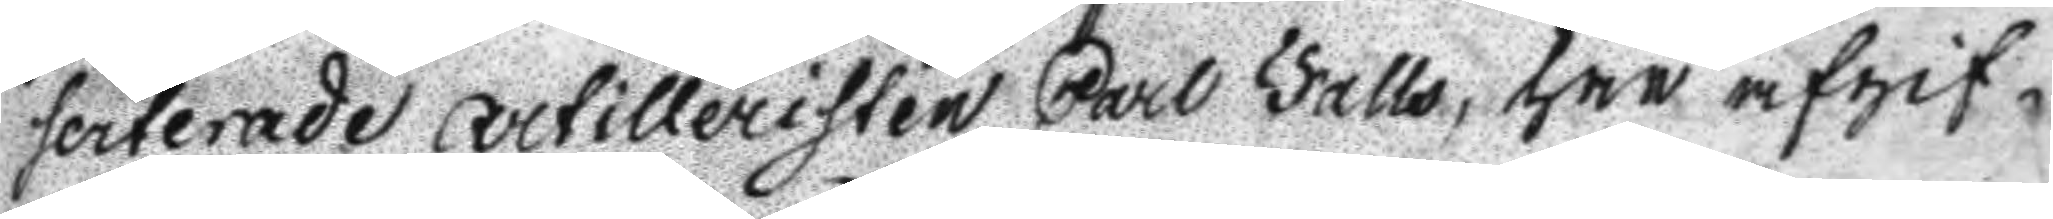serterade artilleristen Carl Falls, har afgif¬
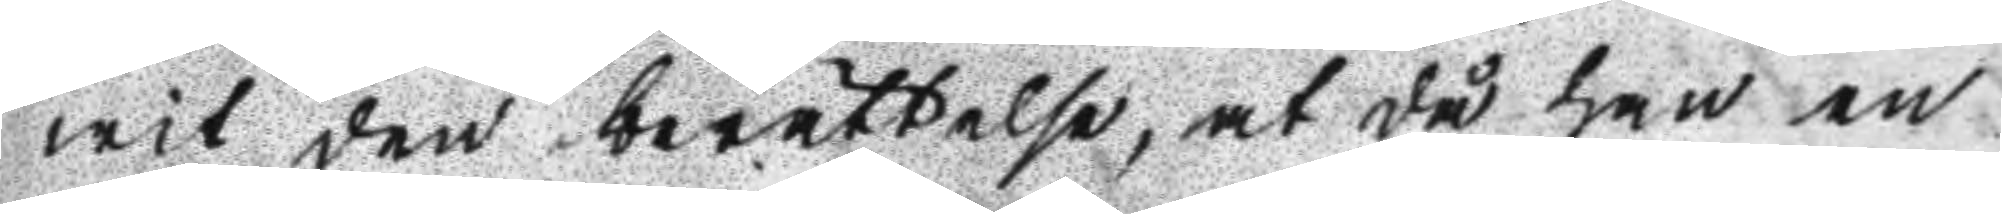wit den berättelse, at då han en
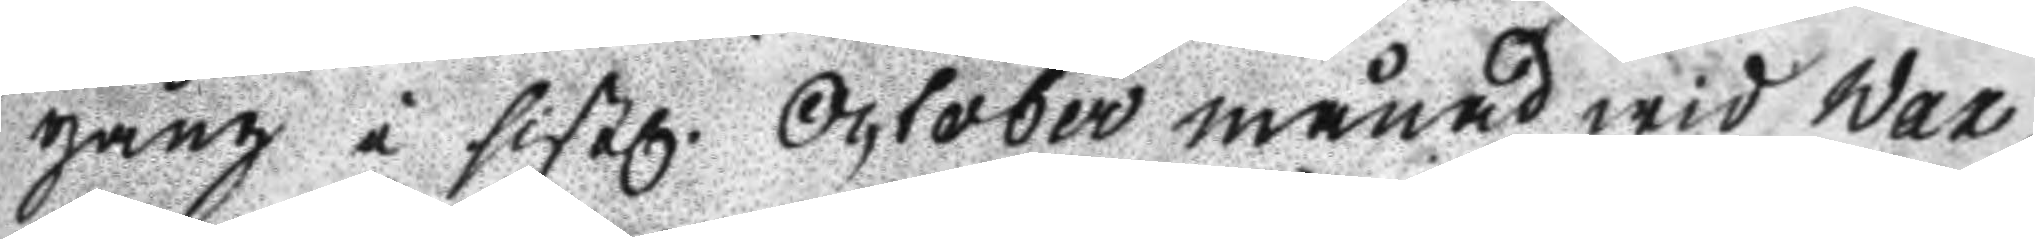gång i sistl. October månad wid Wax¬
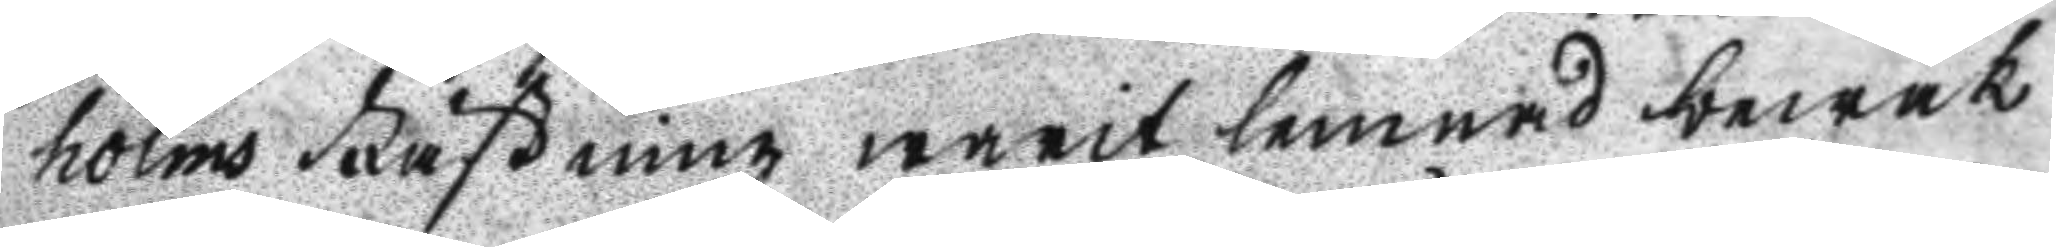holms Fästning warit lemnad bewak
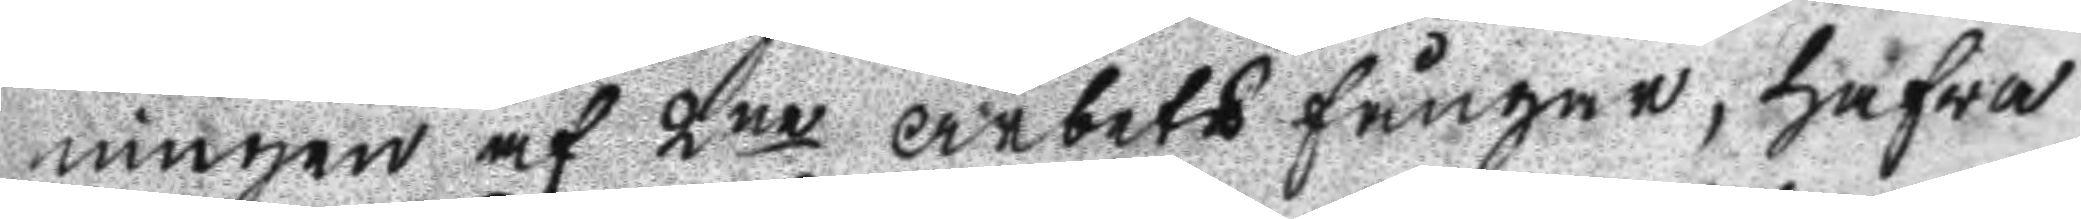ningen af 2ne arbetsfångar, hafwa
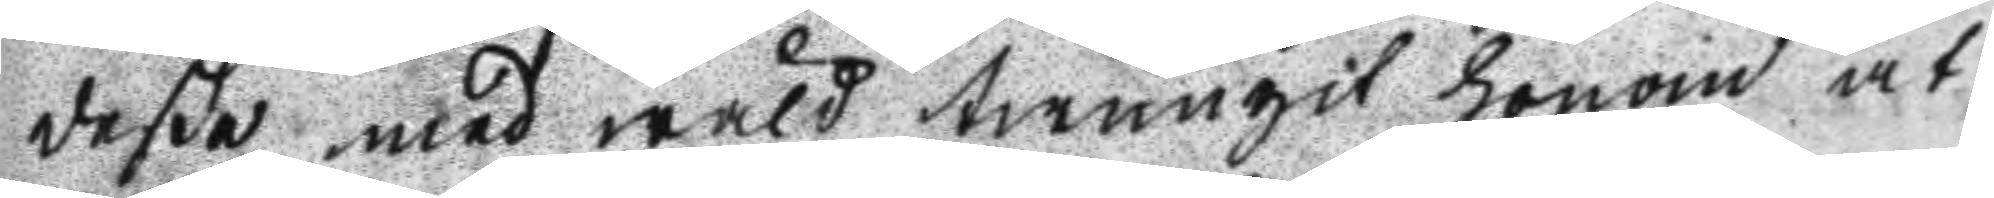deße med wåld twungit honom at
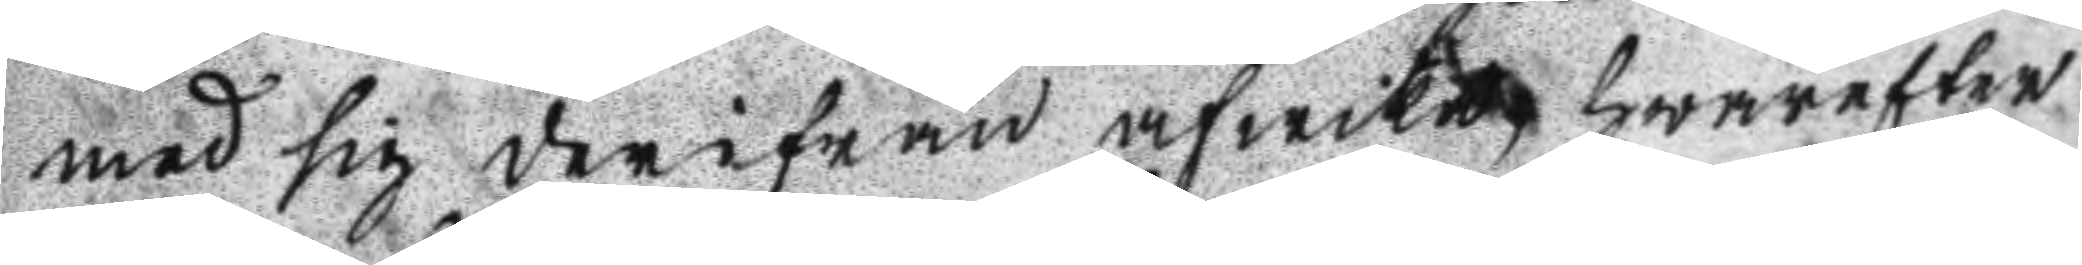med sig derifrån afwika, hwarefter
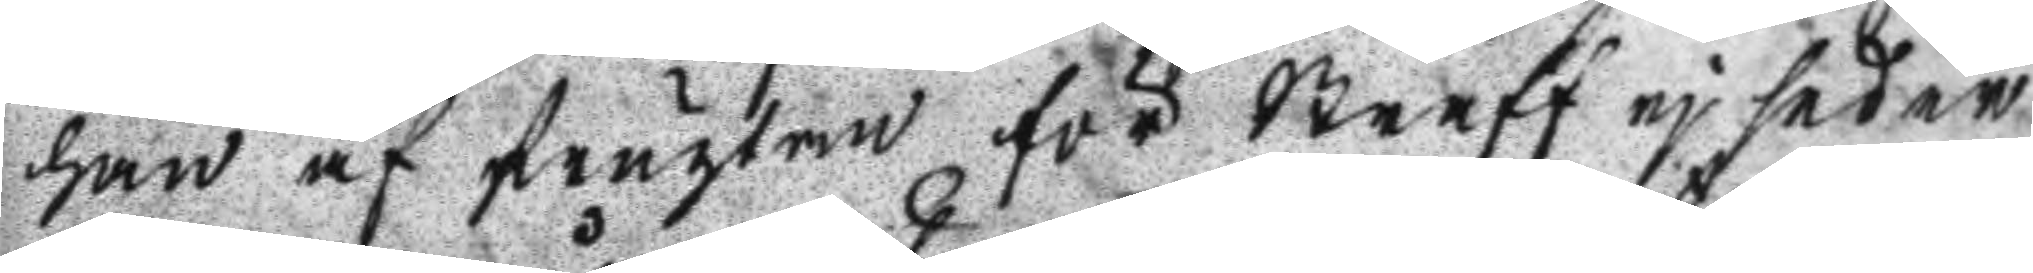han af frugtan för Straff ej sedan
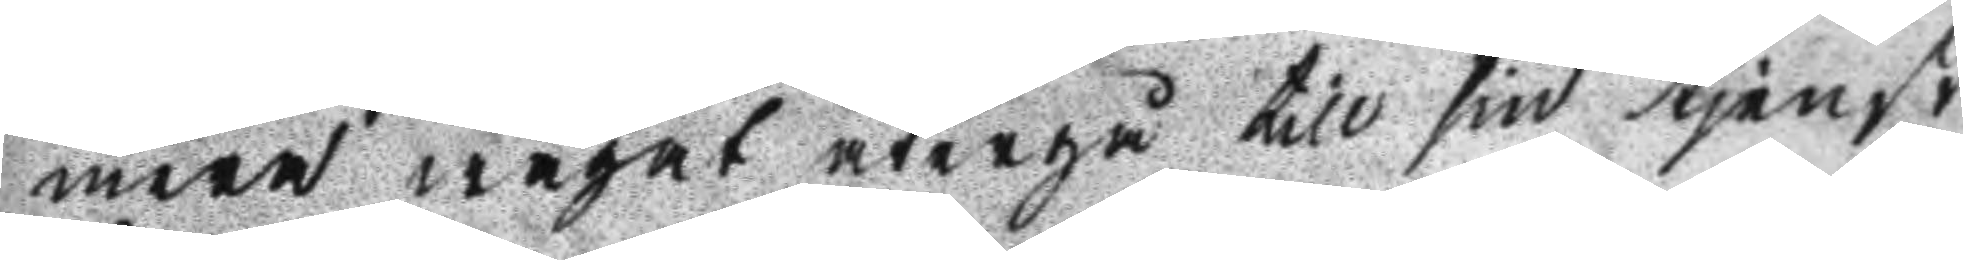mera wågat återgå till sin tjenst,
